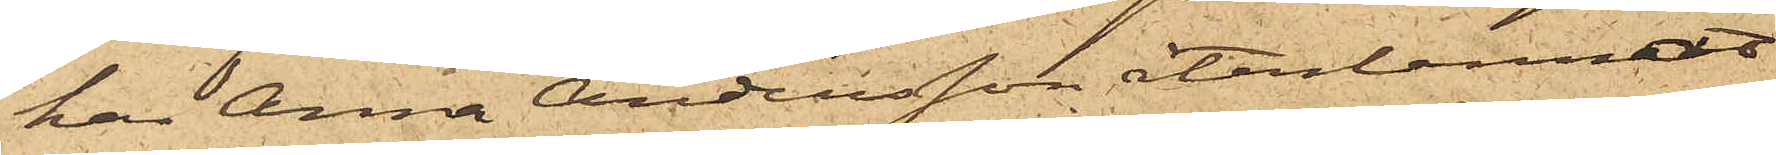har Anna Andersson återlemnat
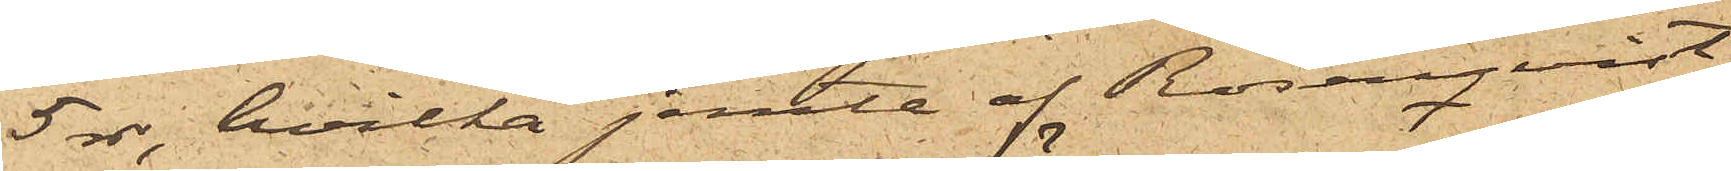5 rdr, hvilka jemte af Rosenqvist
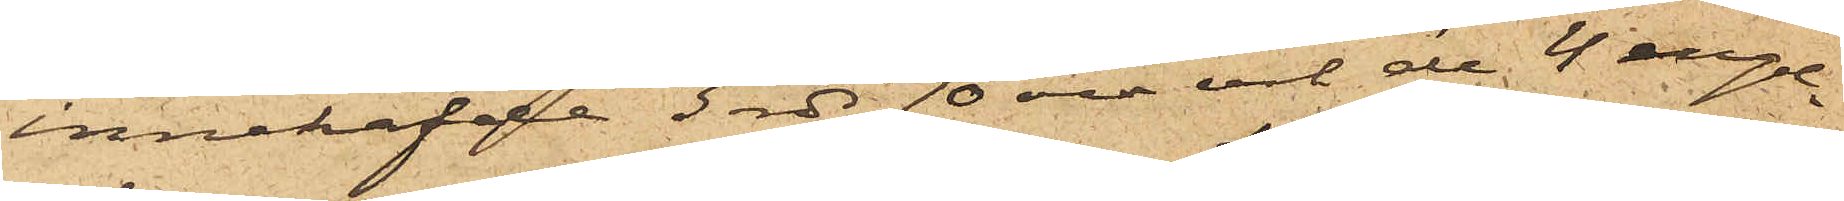innehafde 3 rdr 70 öre och de 4 engel¬
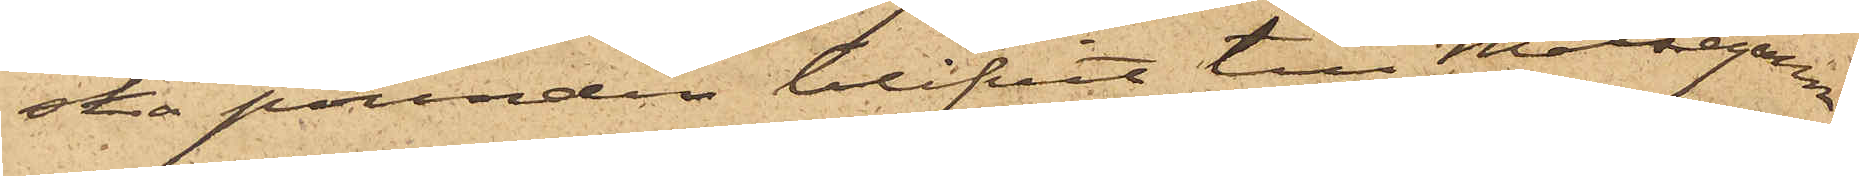ska pounden blifvit till Målsegaren
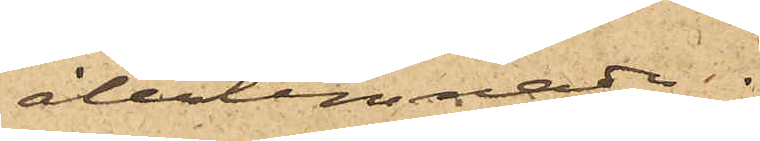återlemnade.
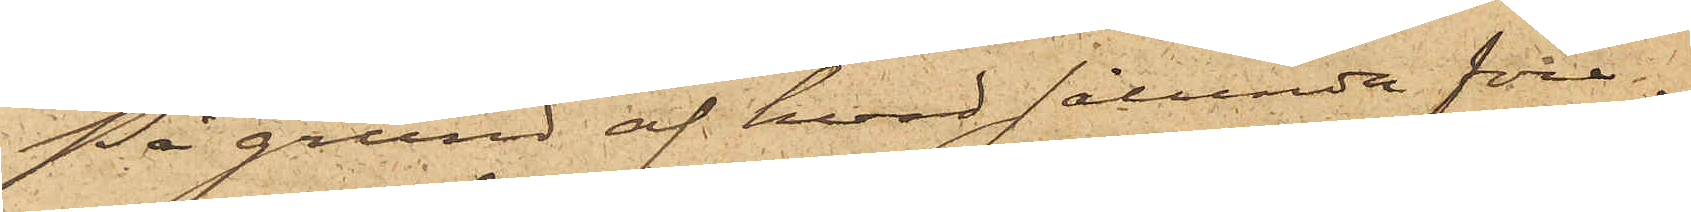På grund af hvad sålunda före¬
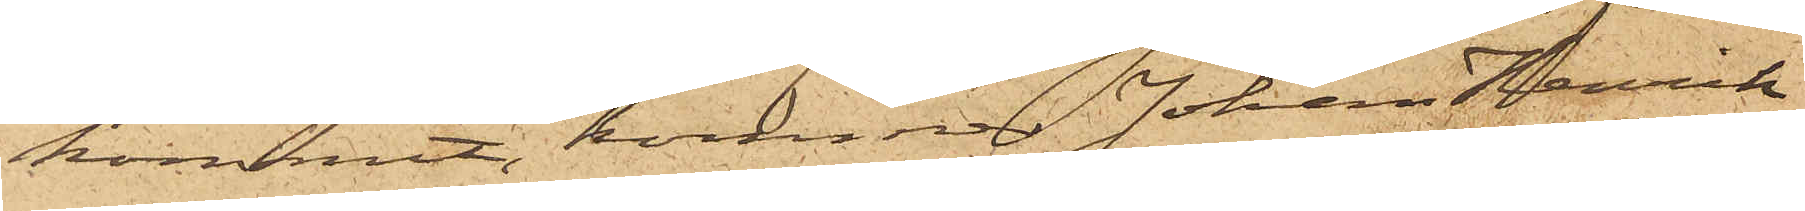kommit, kommer Johan Henrik
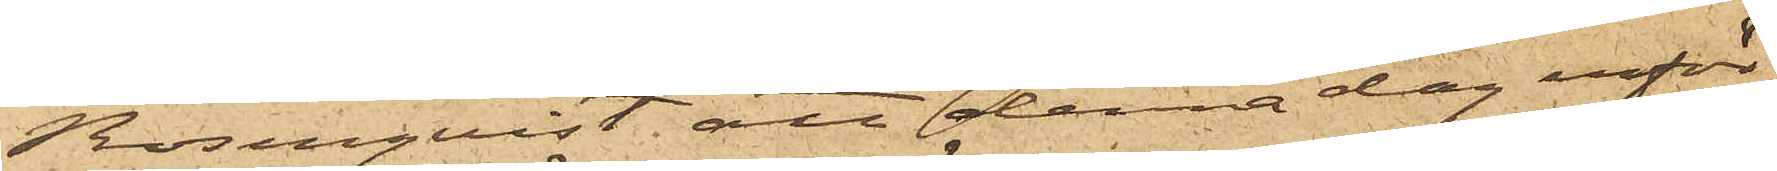Rosenqvist, att denna dag inför
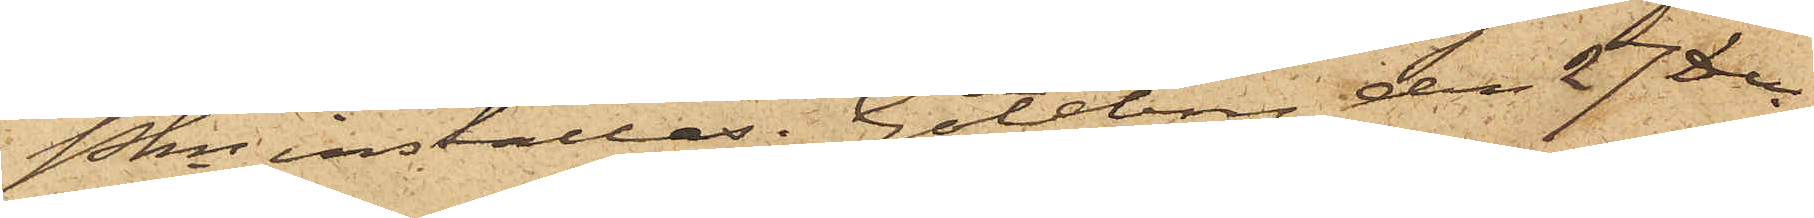Pkn inställas. Göteborg den 27 Dec.
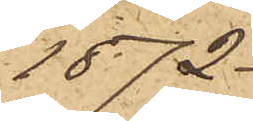1872.
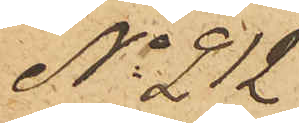No 212
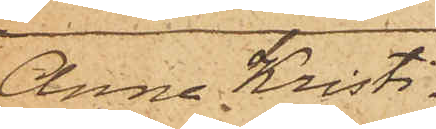Anna Kristi¬
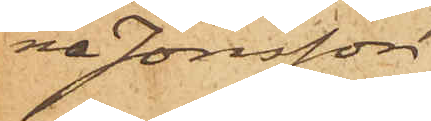na Jonsson
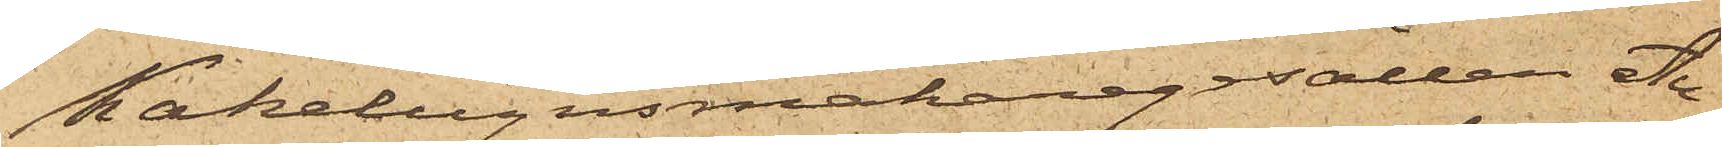Kakelugnsmakaregesällen Au¬
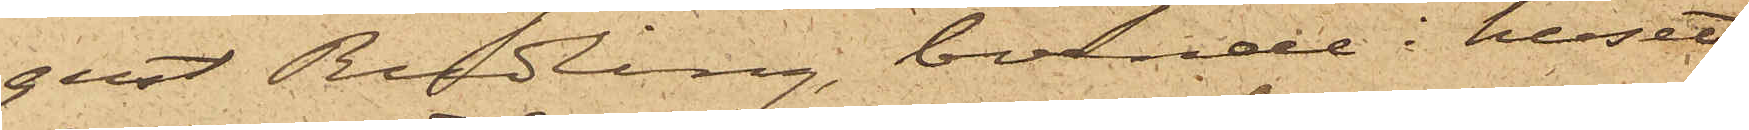gust Rudling, boende i huset
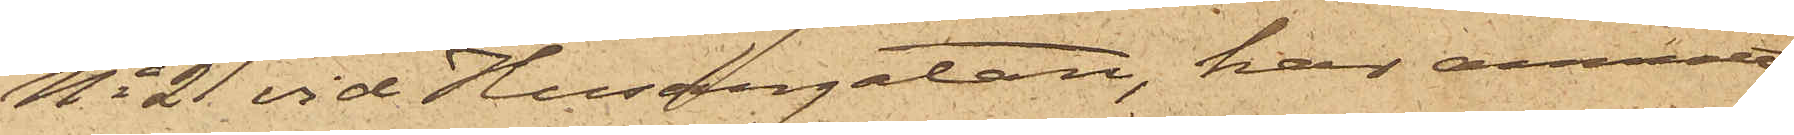No 21 vid Husargatan, har anmält
